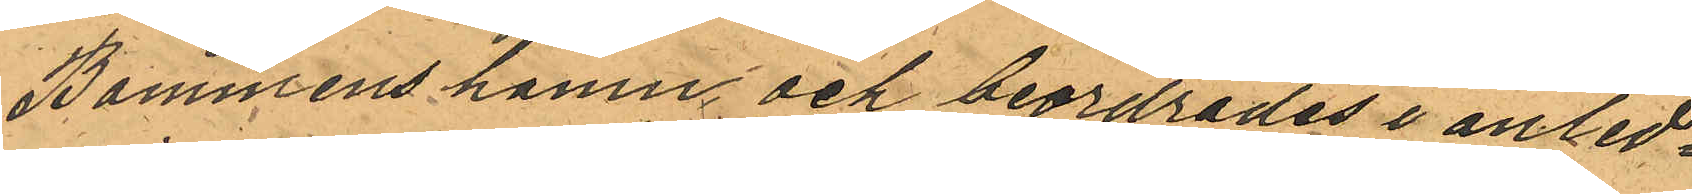Bommens hamn och beordrades i anled¬
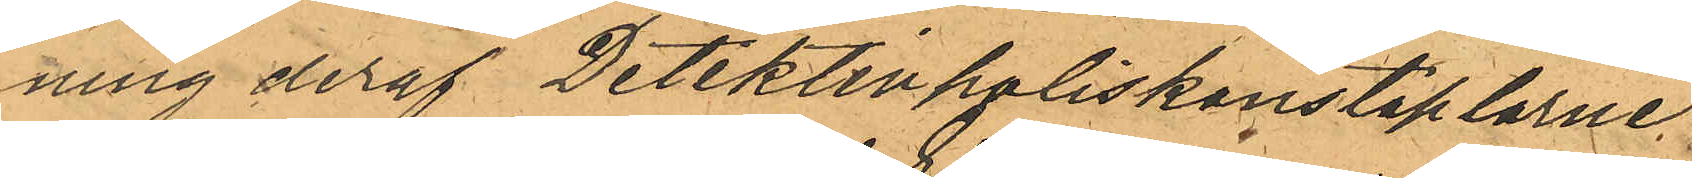ning deraf Detektivpoliskonstaplarne
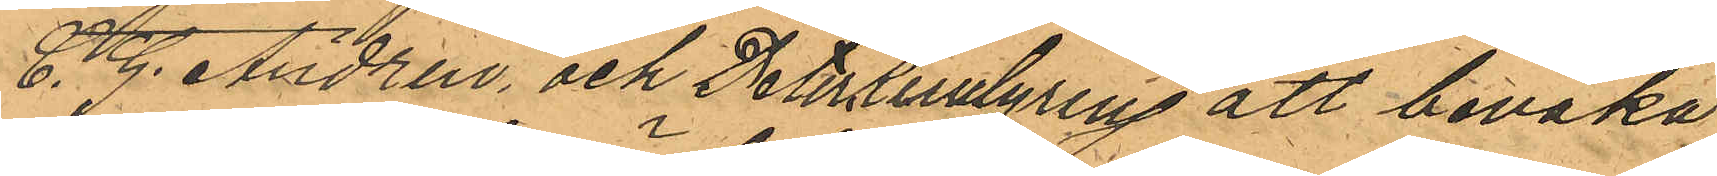C. G. Andrén och Peter Lindgren att bevaka
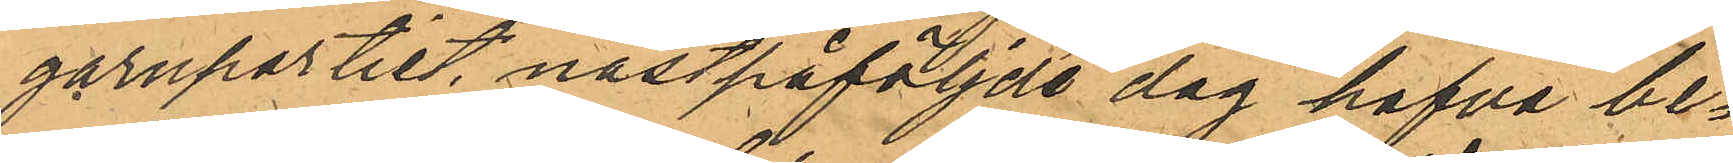garnpartiet, nästpåföljde dag hafva be¬
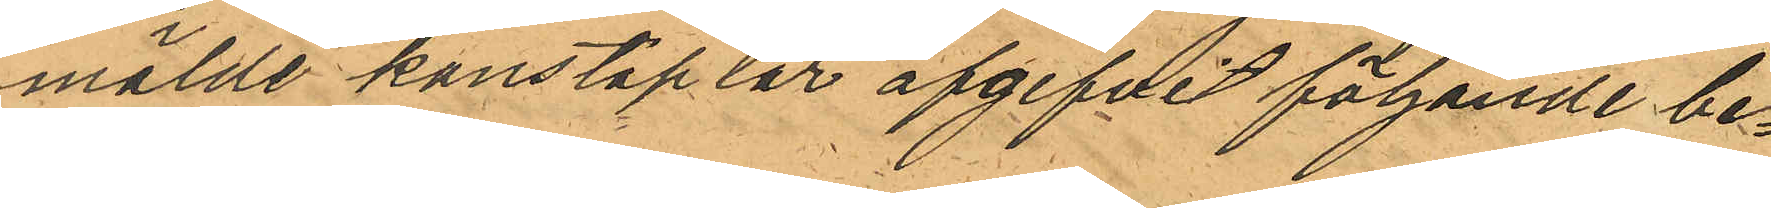mälde konstaplar afgifvit följande be¬
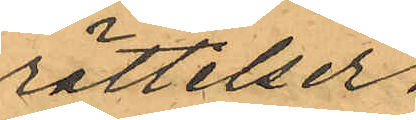rättelser.
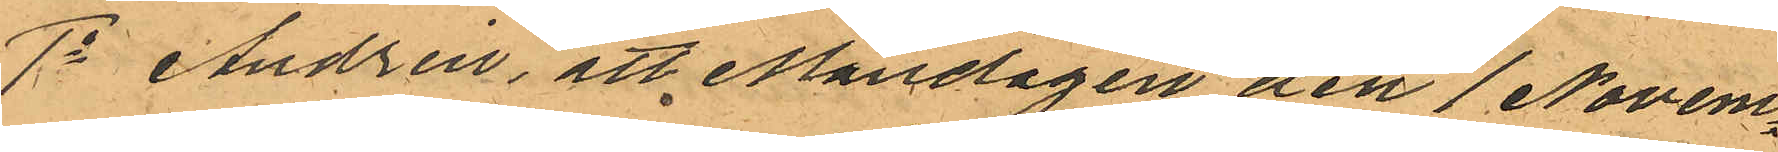1o Andrén, att Måndagen den 1 Novem¬
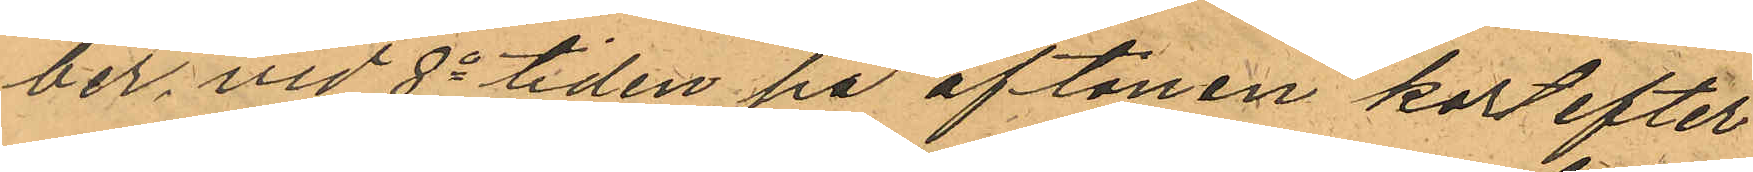ber, vid 8a tiden på aftonen kort efter
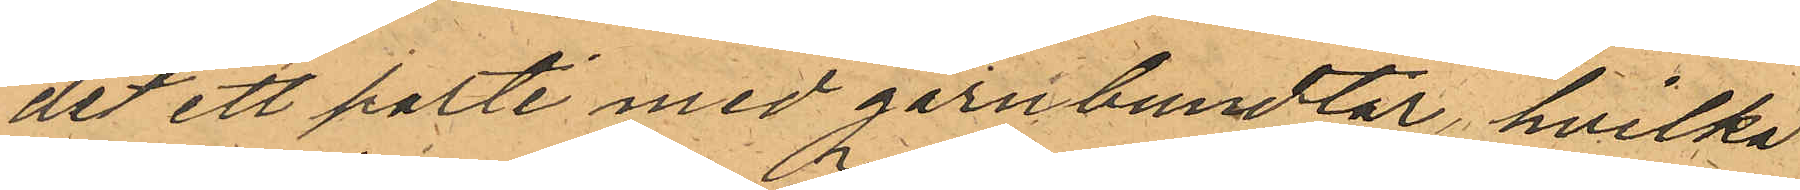det ett parti med garnbundtar, hvilka
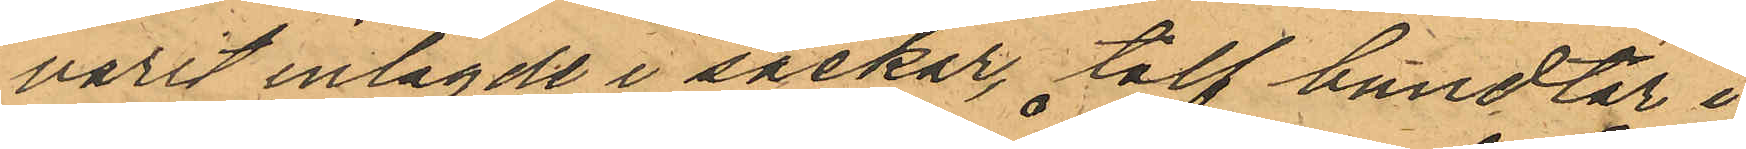varit inlagde i säckar, tolf bundtar i
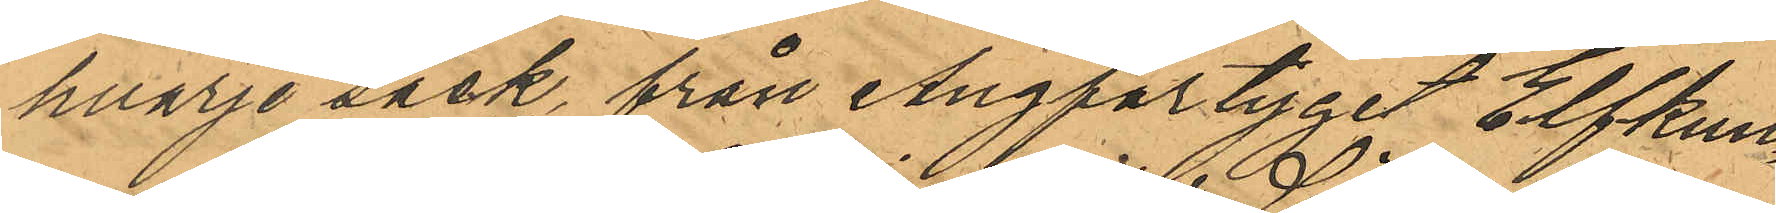hvarje säck från Ångfartyget Elfkun¬
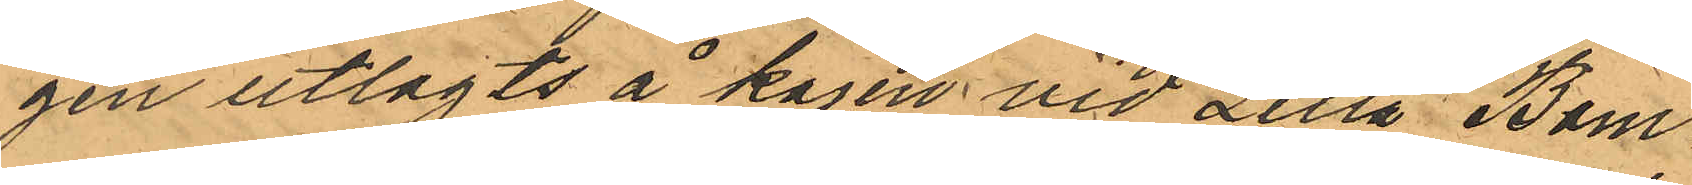gen utlagts å kajen vid Lilla Bom¬
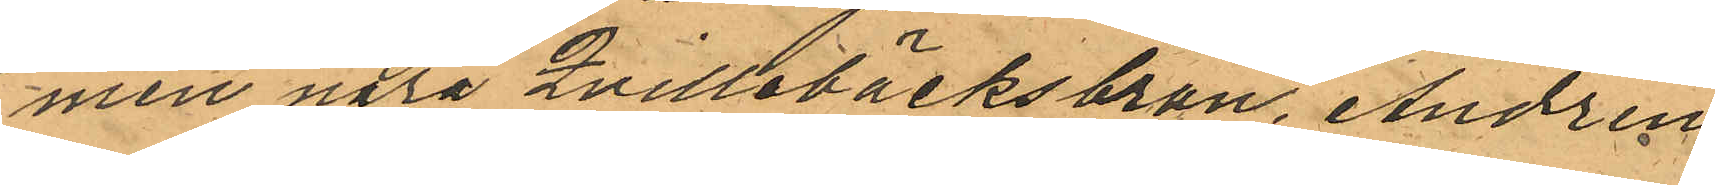men nära Qvillebäcksbron, Andrén
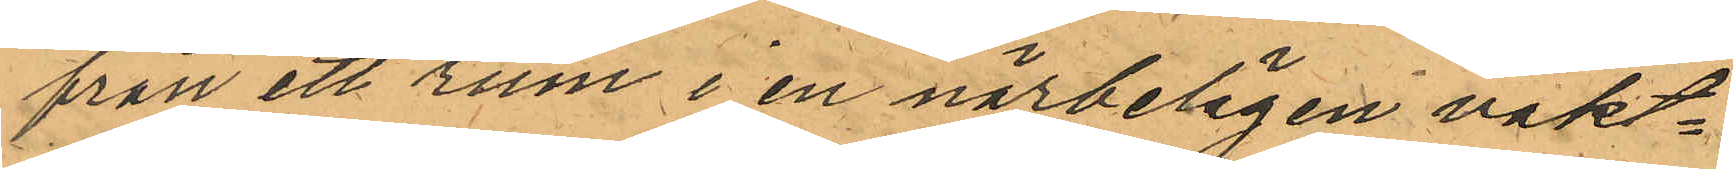från ett rum i en närbelägen vakt¬
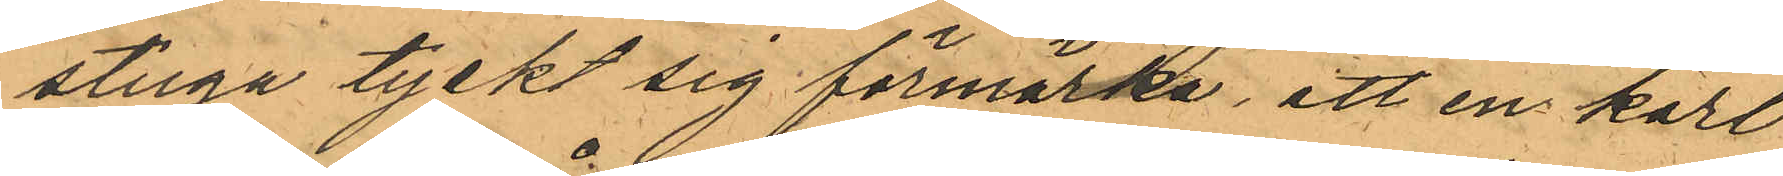stuga tyckt sig förmärka, att en karl
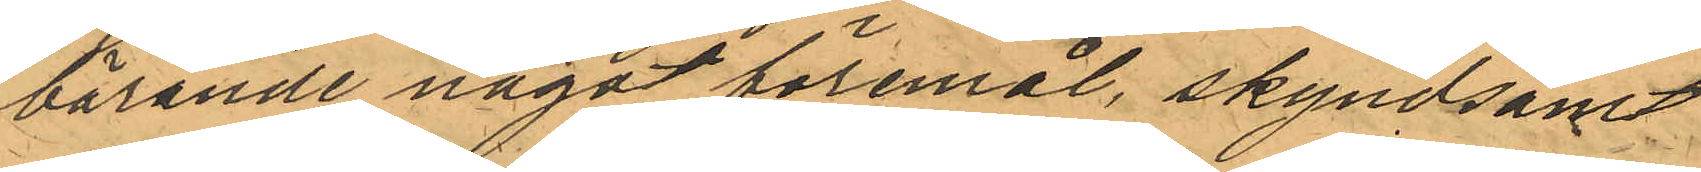bärande något föremål, skyndsamt
